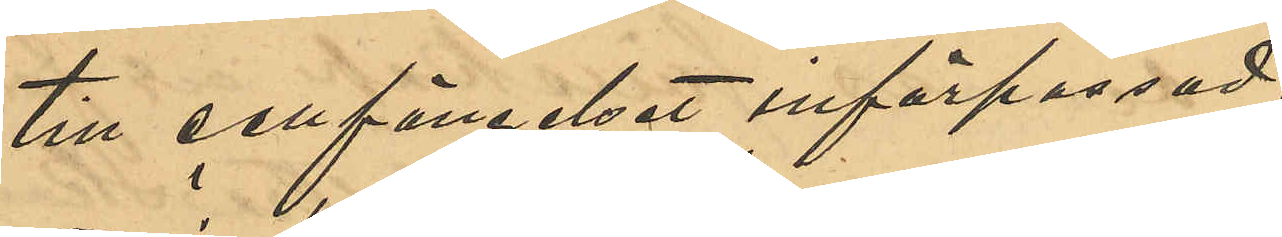till cellfängelset införpassad,
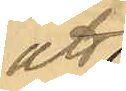att
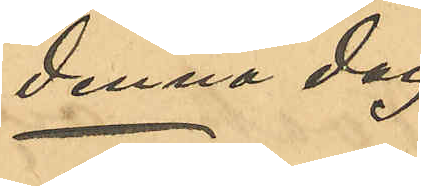denna dag
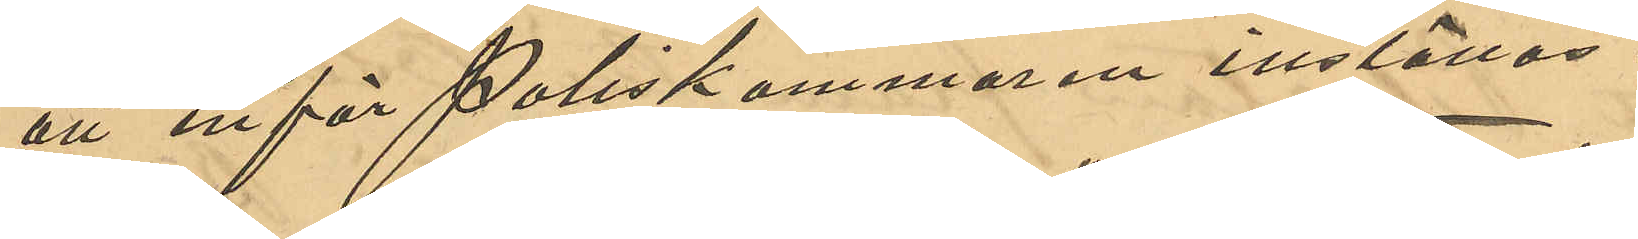att inför Poliskammaren inställas.
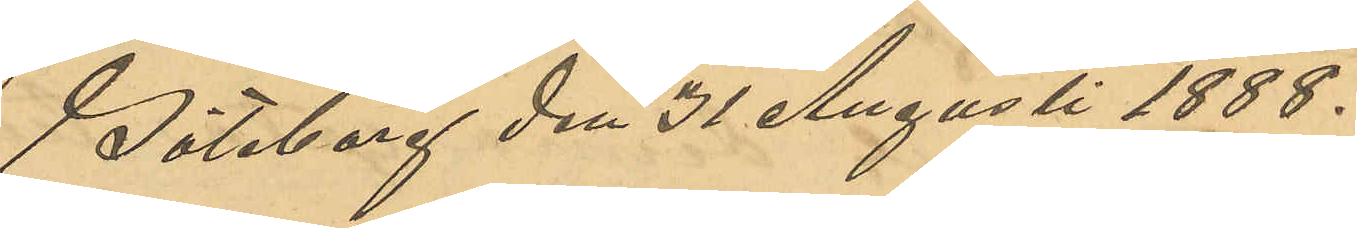Göteborg den 31 Augusti 1888.
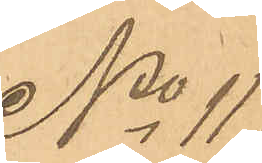No 117
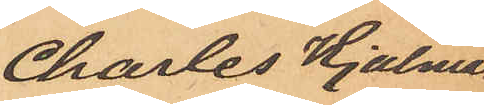Charles Hjalmar
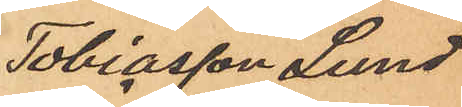Tobiasson Lund¬
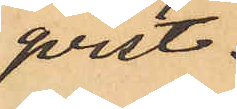qvist.
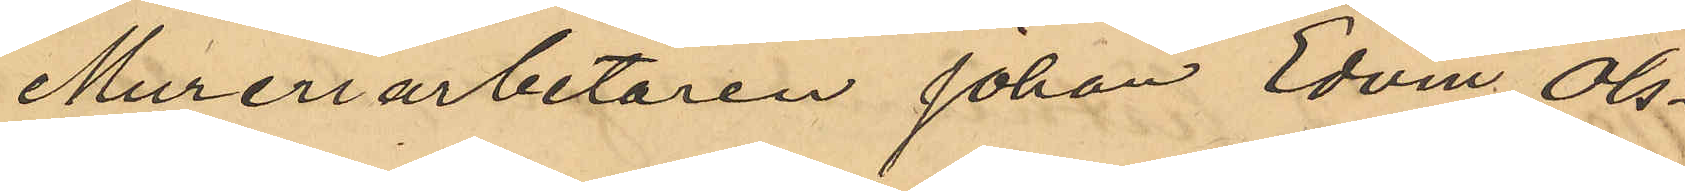Mureriarbetaren Johan Edvin Ols¬
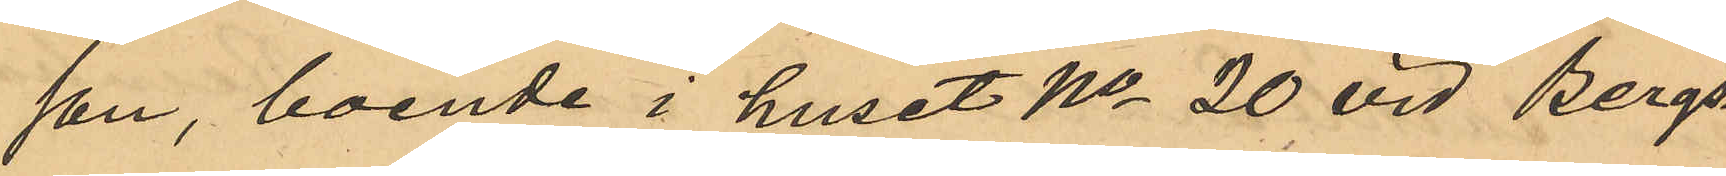son, boende i huset No 20 vid Bergs¬
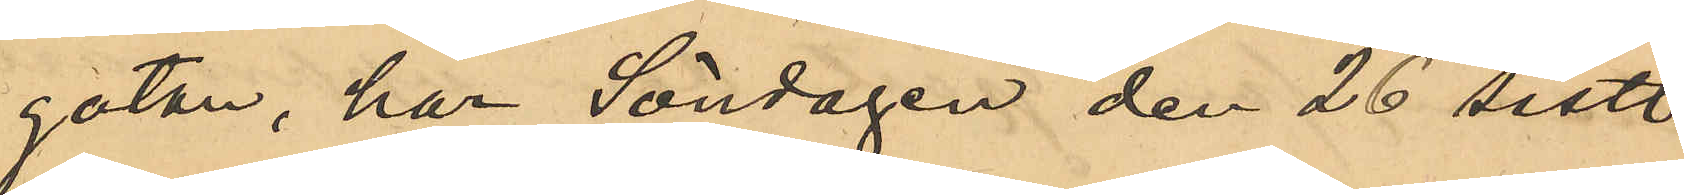gatan, har Söndagen den 26 sistl.
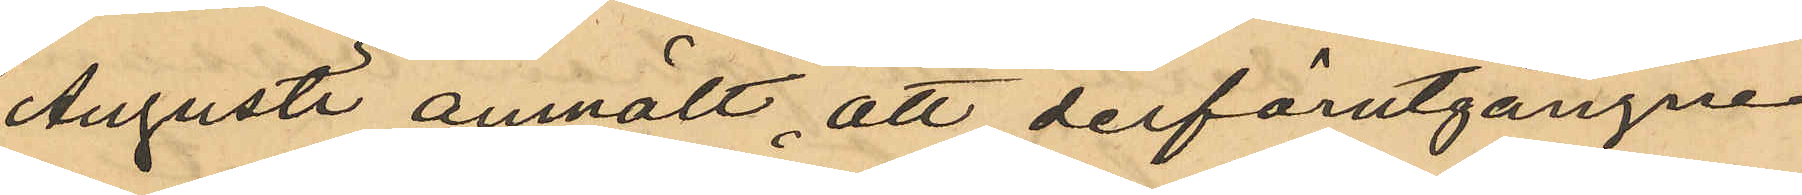Augusti anmält, att derförutgångne
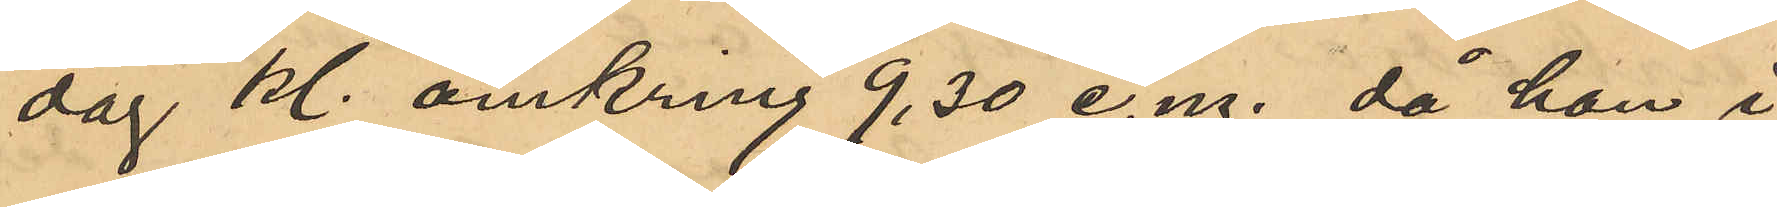dag Kl omkring 9,30 e. m. då han i
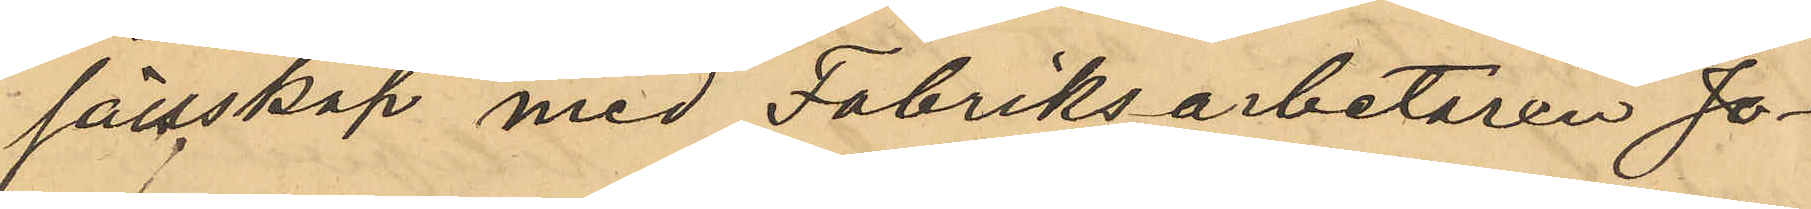sällskap med Fabriksarbetaren Jo¬
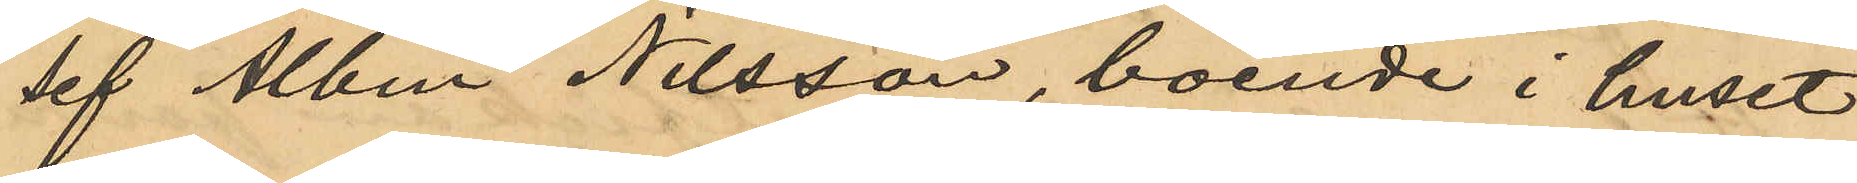sef Albin Nilsson, boende i huset
